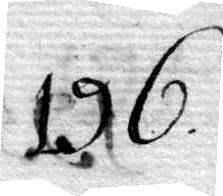196.
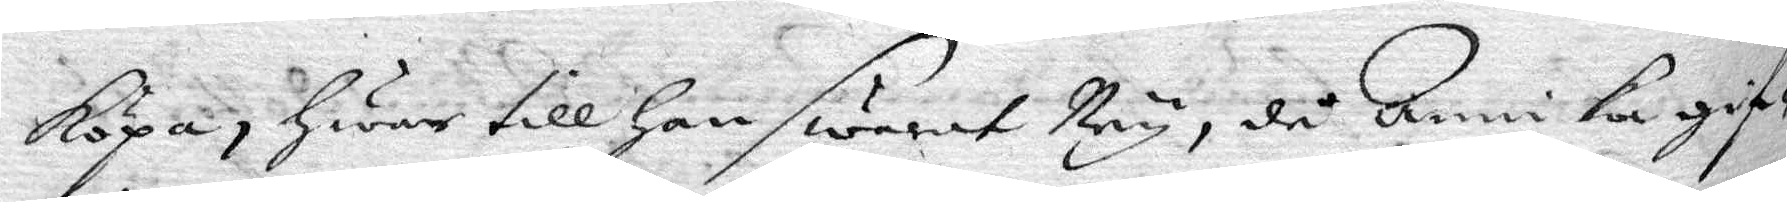köpa, Hwar till Han swarit Ney, då Annika gif¬
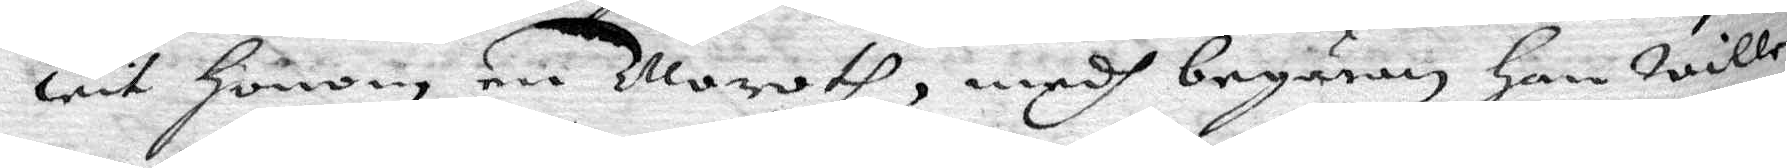wit Honom en Moroth, medh begäran han wille
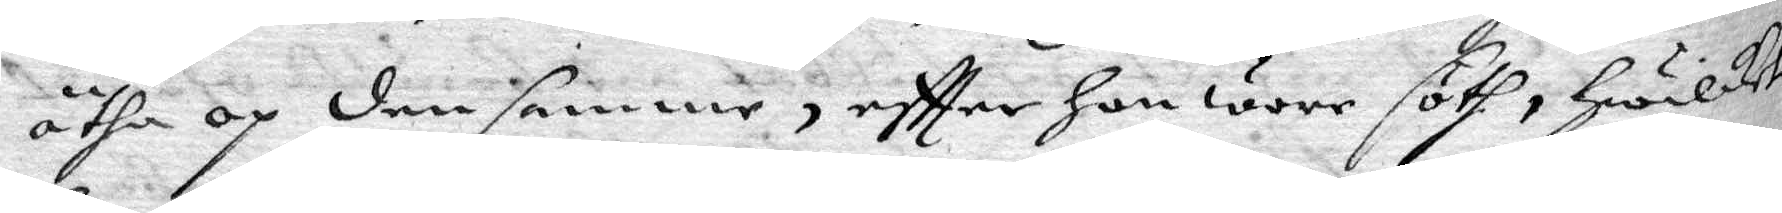ätha op den samme, eftter Hon wore söth, hwilket
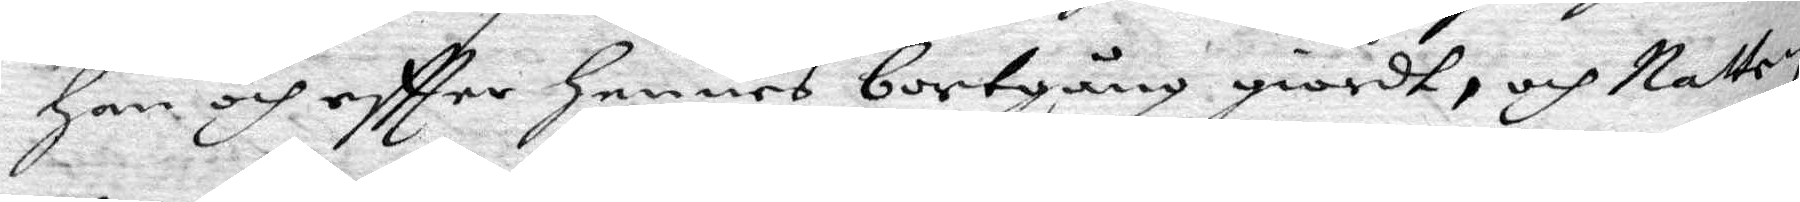Han och eftter hennes bortgång giordt, och Natten
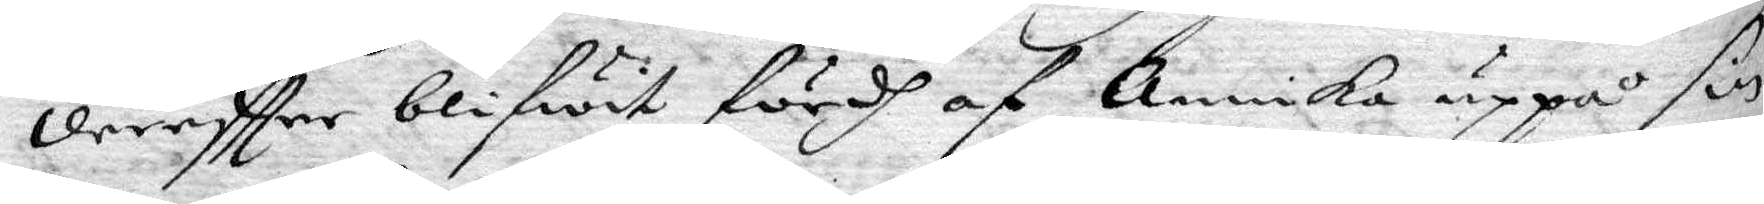dereftter blifwit fördh af Annika uppå sin
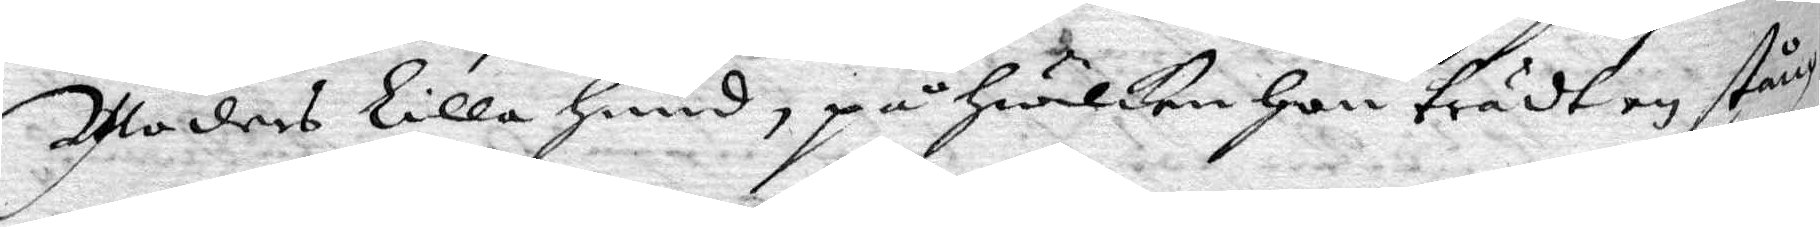Moders Lilla Hund, på hwilken Hon trädt en stång
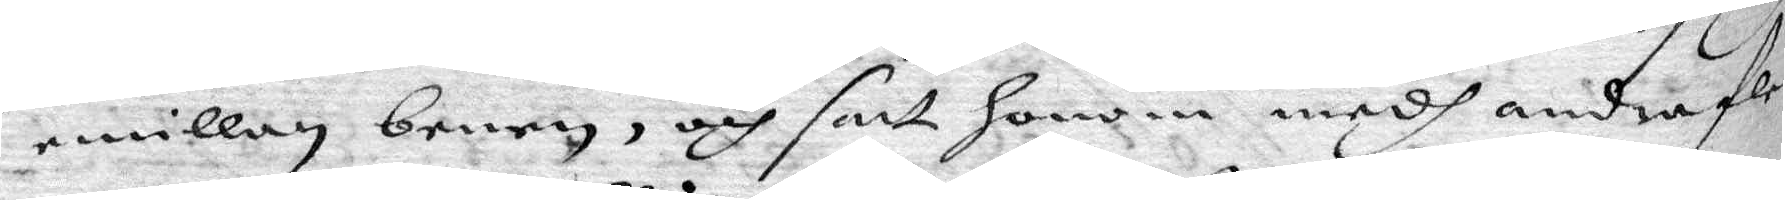emillan benen, och satt honom medh andra fle¬
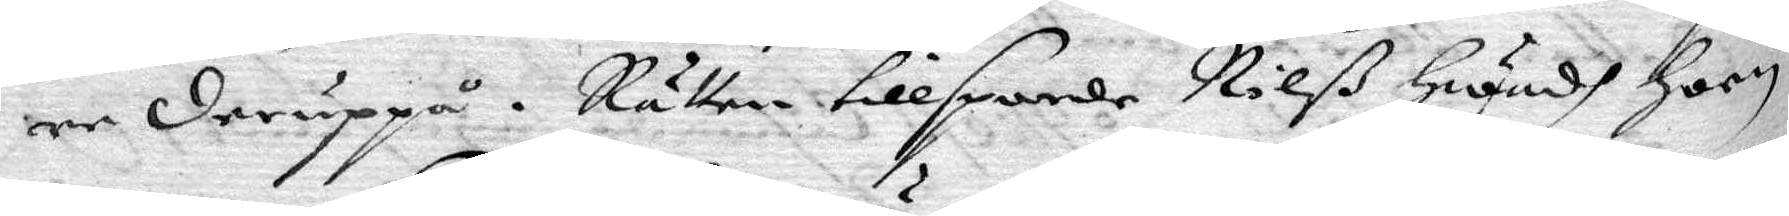re deruppå. Rätten tillsporde Nilß Hwadh hoon
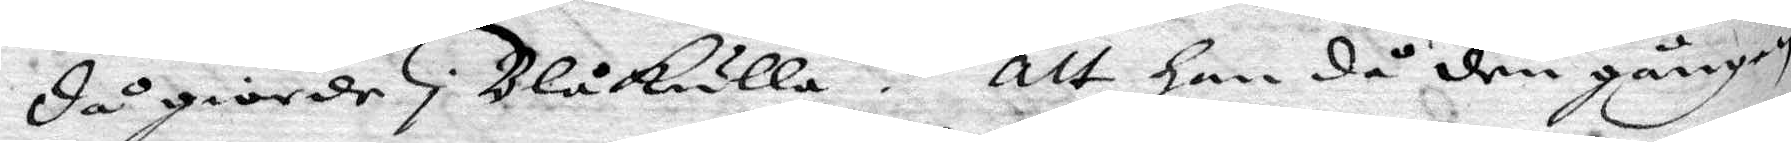då giorde i Blåkulla? att han då den gången
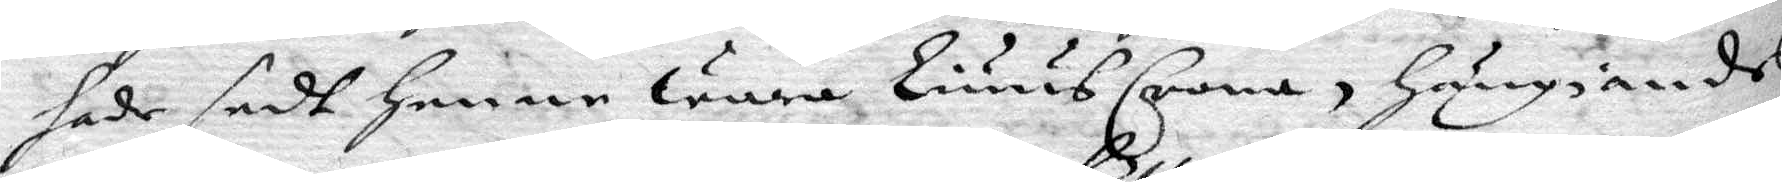hade sedt henne Wara Liuus Crona, Hängiandes
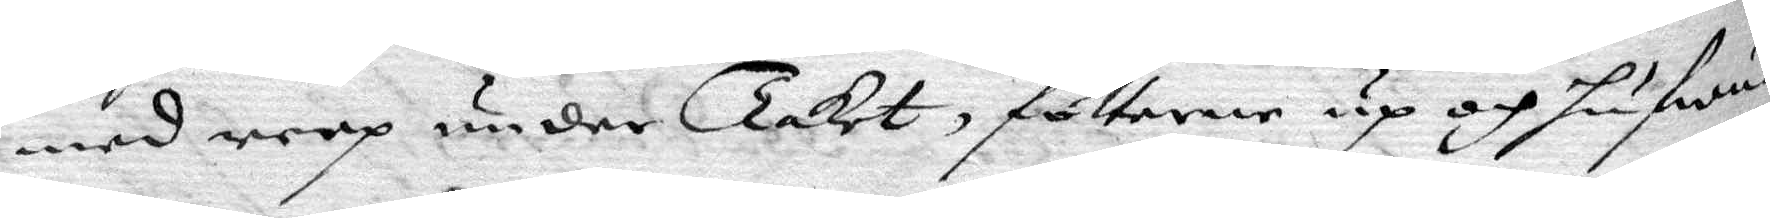med reep under Taket, fötterne up och hufwu¬
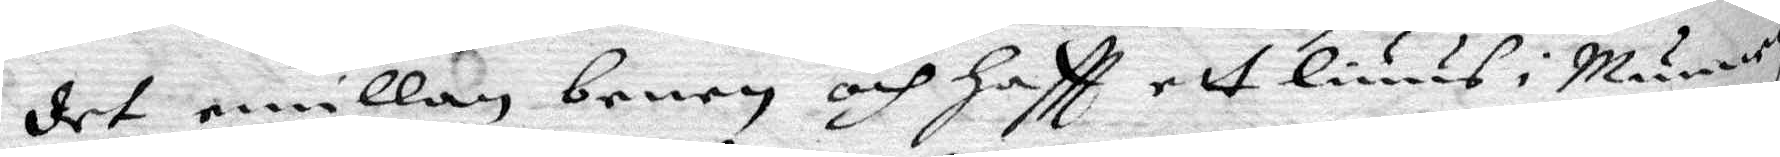det emillan benen och Haftt ett liuus i Munnen.
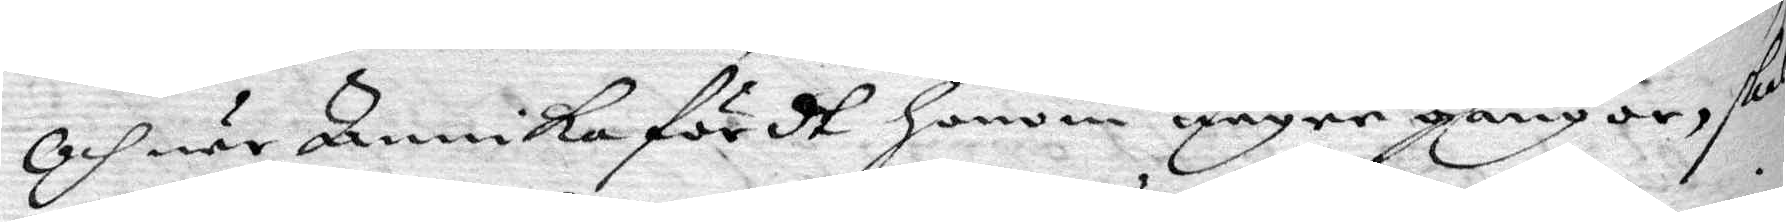Och när Annika fördt Honom någre gångor, skol
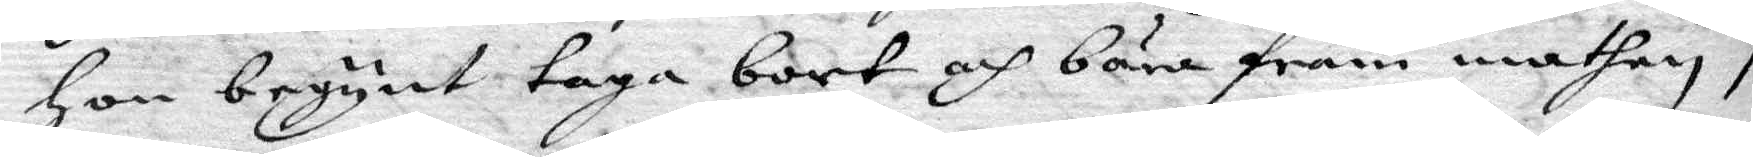Hon begynt taga bort och bära fram mathen i
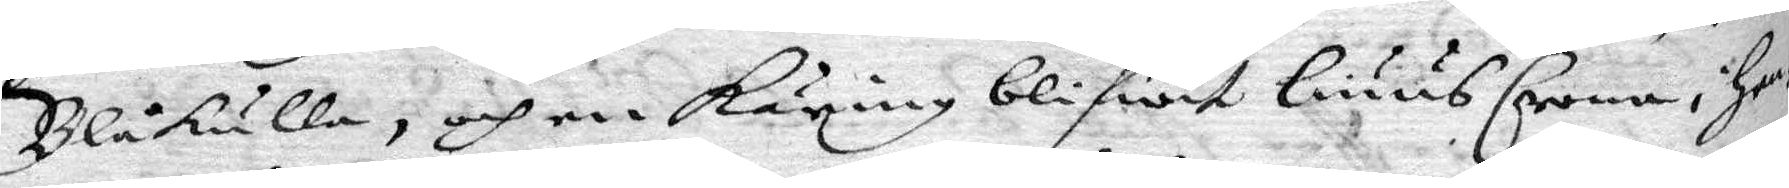Blåkulla, och en Käring blifwit liuus Crona i hen¬
